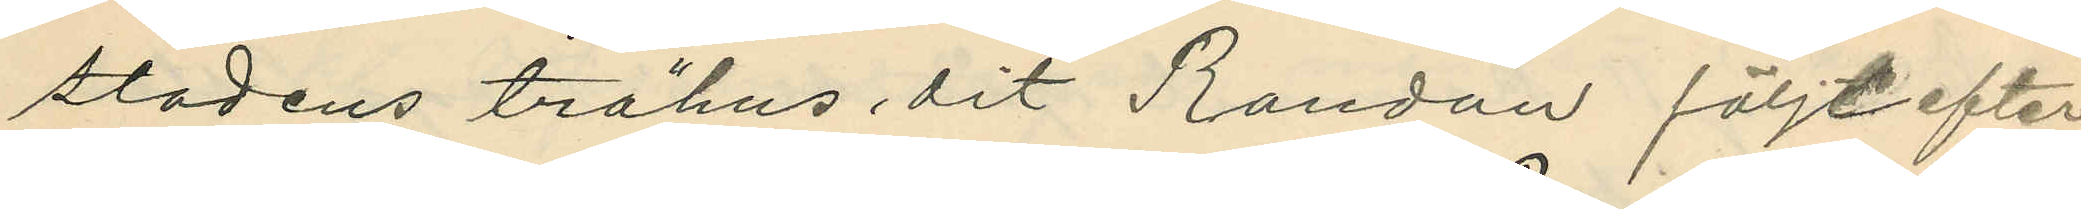stadens trähus dit Randau följt efter;
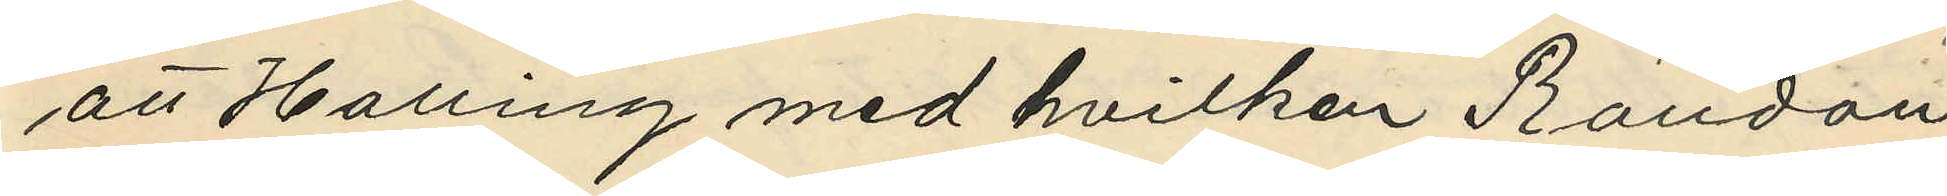att Halling med hvilken Randau
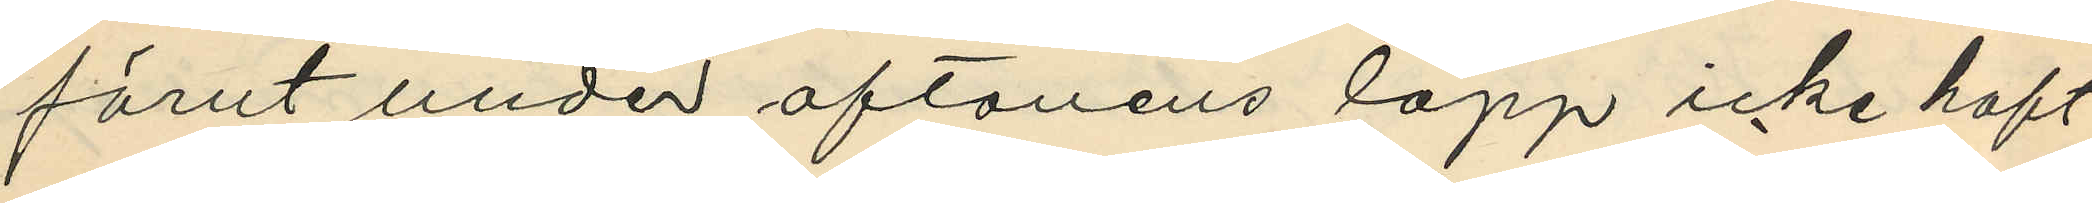förut under aftonens lopp icke haft
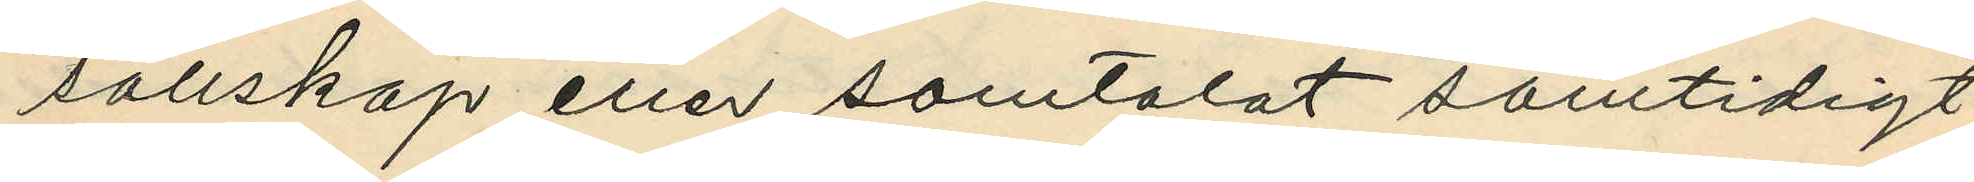sällskap eller samtalat samtidigt
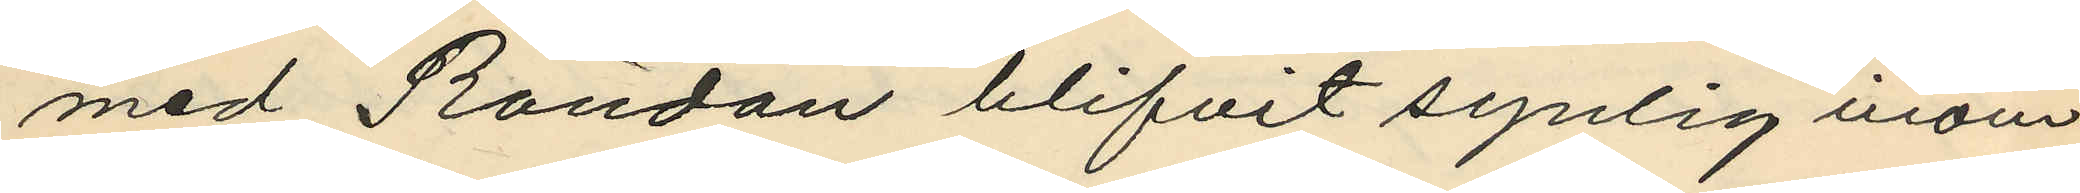med Randau blifvit synlig inom
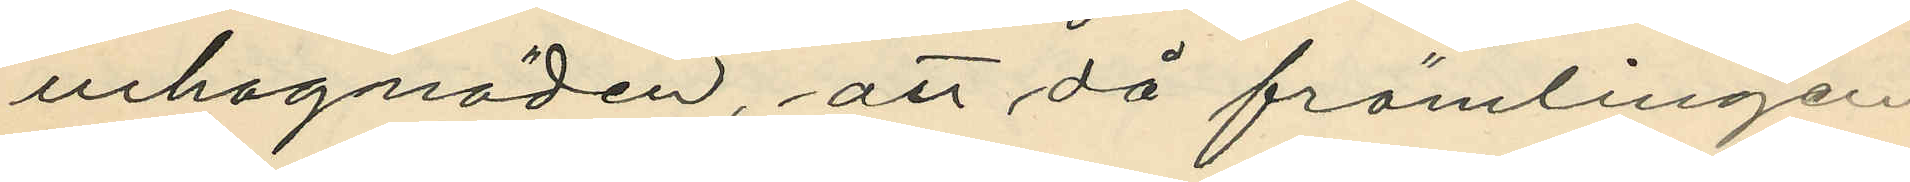inhagnäden, att då främlingen
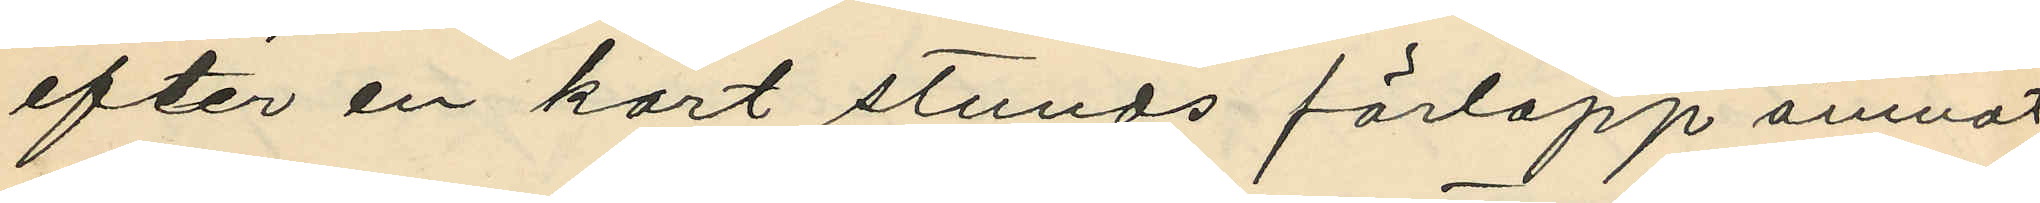efter en kort stunds förlopp ämnat
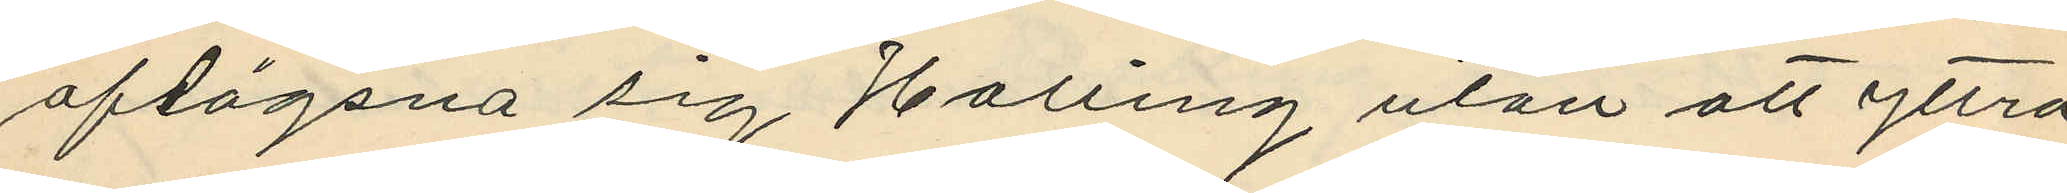aflägsna sig Halling utan att yttra
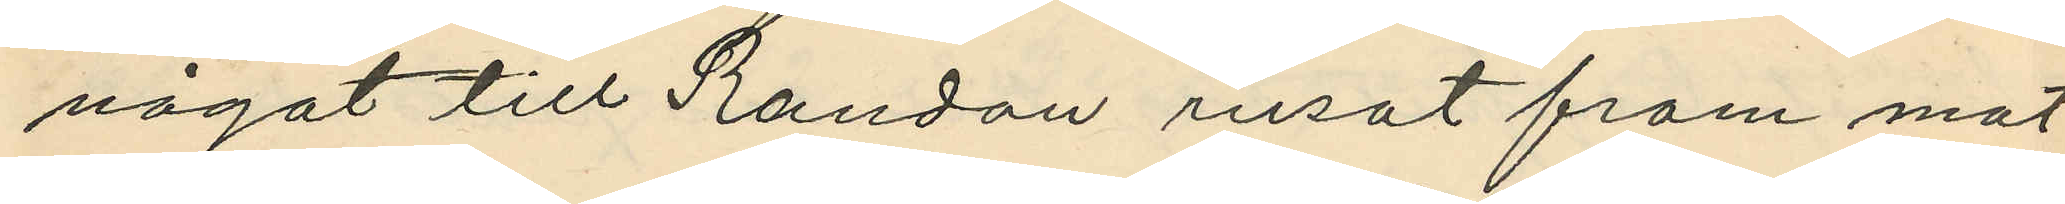något till Randau rusat fram mot
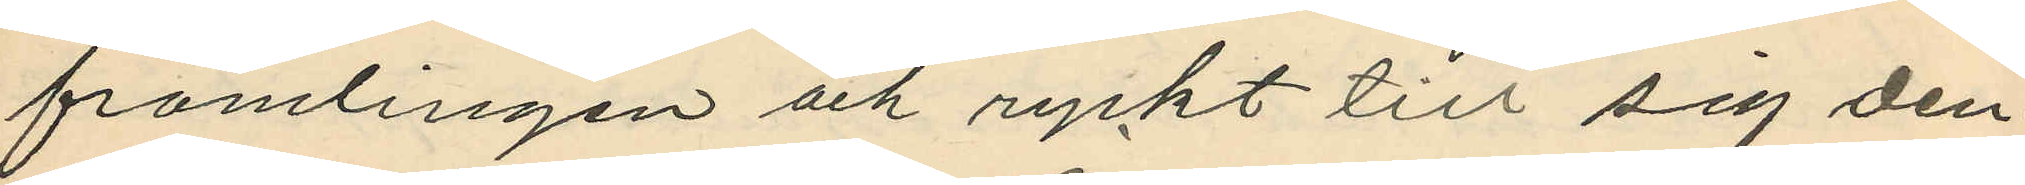främlingen och ryckt till sig den¬
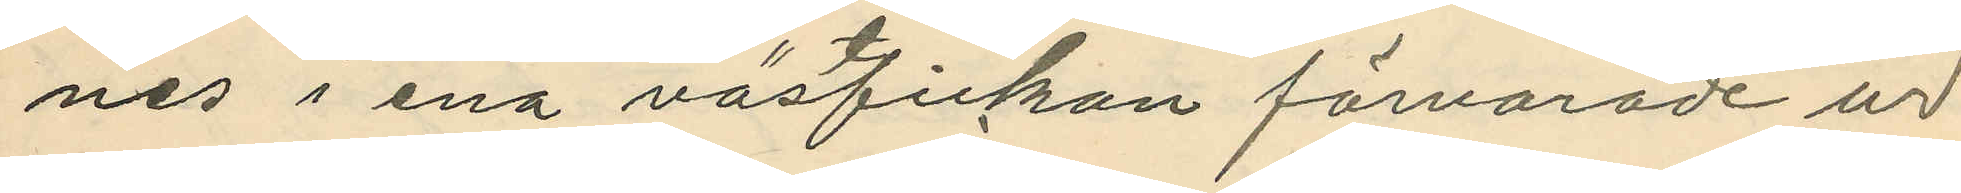nes i ena västfickan förvarade ur;
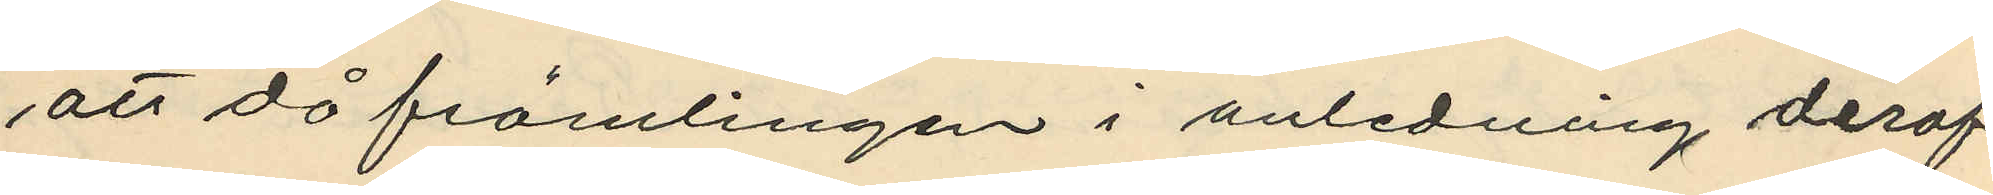att då främlingen i anledning deraf
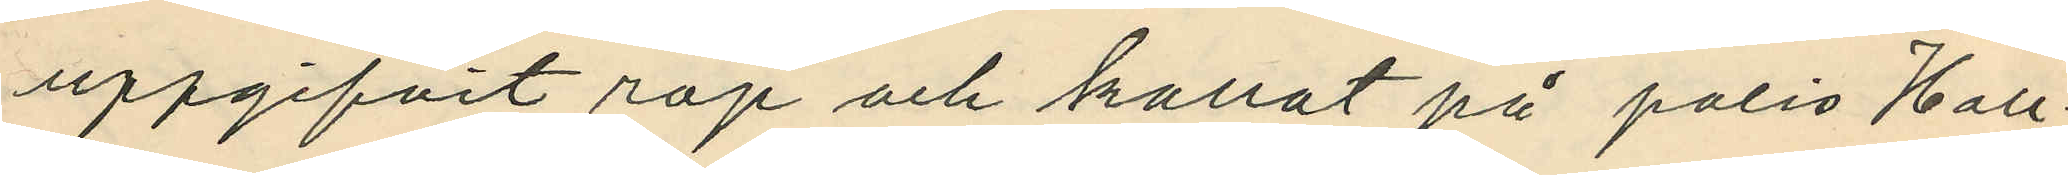uppgifvit rop och kallat på polis Hall¬
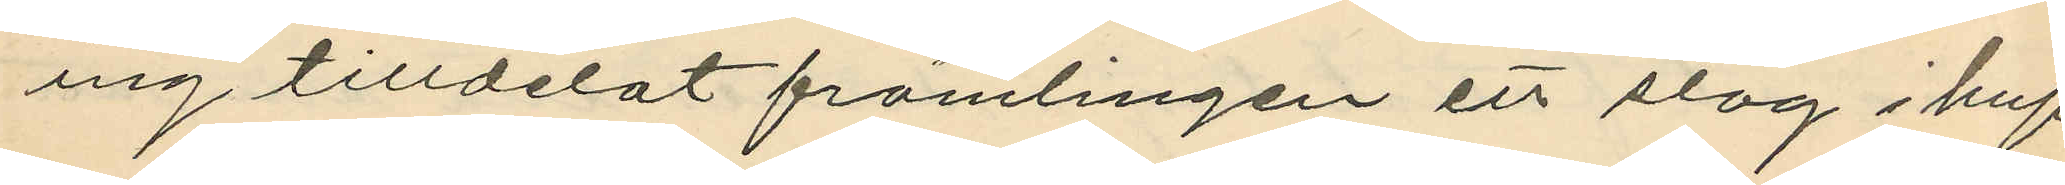ing tilldelat främlingen ett slag i huf¬
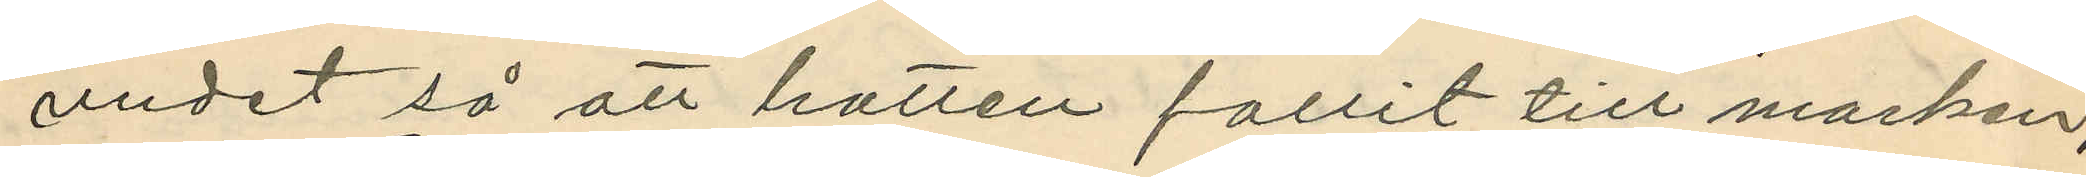vudet så att hatten fallit till marken,
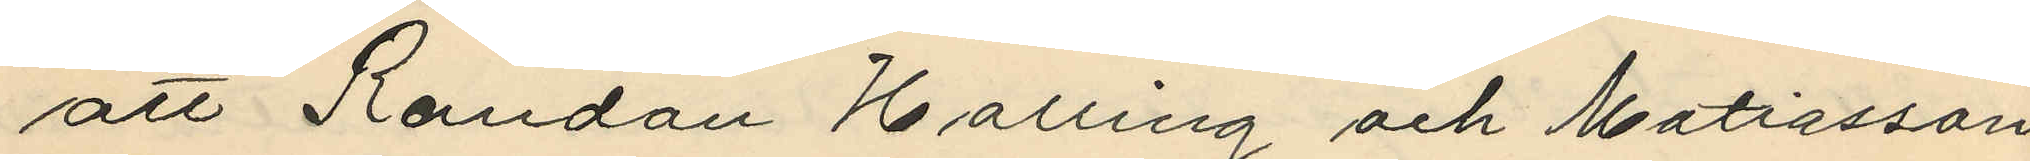att Randau Halling och Matiasson
